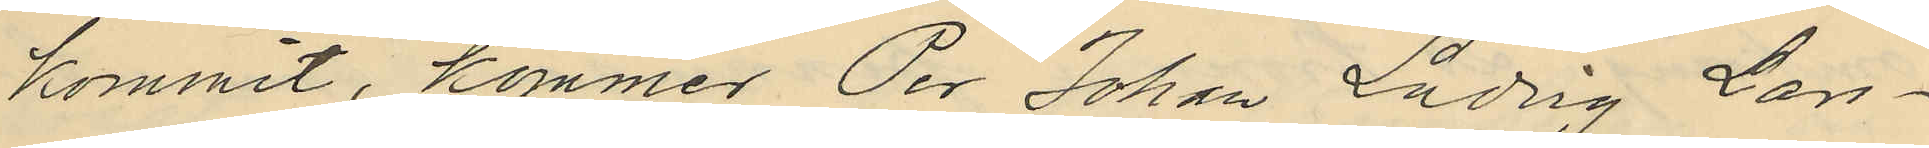kommit, kommer Per Johan Ludvig Lars¬
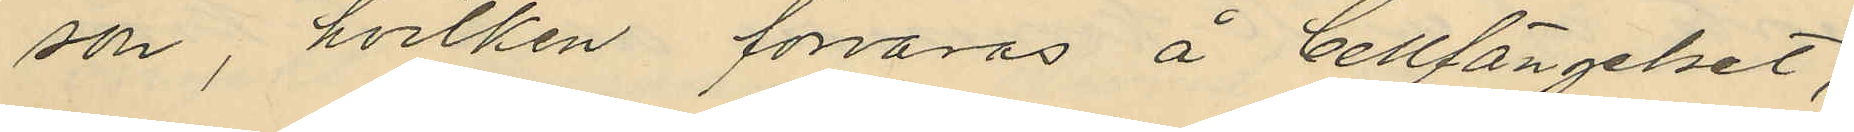son, hvilken förvaras å Cellfängelset,
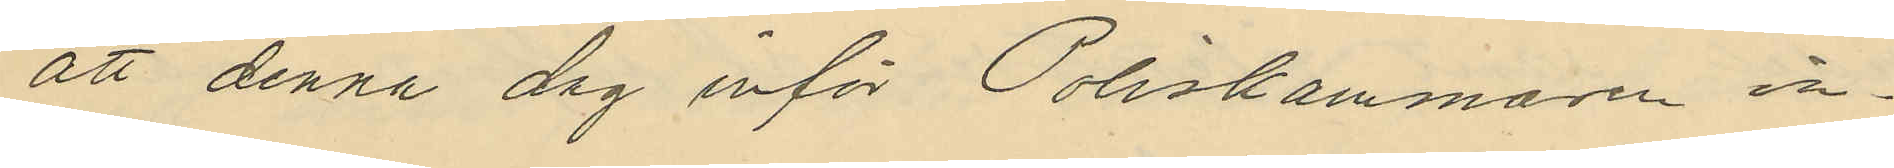att denna dag inför Poliskammaren in¬
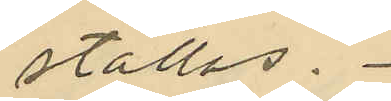ställas.
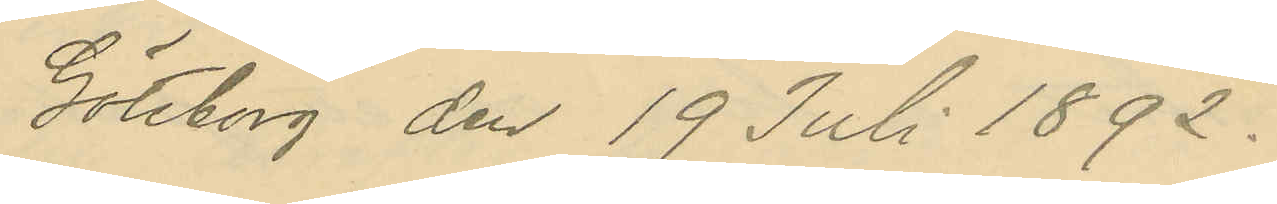Göteborg den 19 Juli 1892.
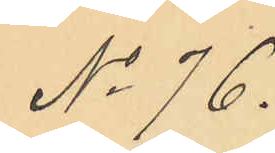No 76.
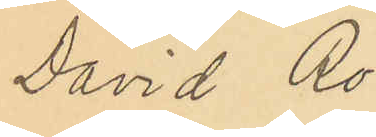David Ro¬
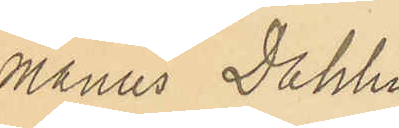manus Dahlin
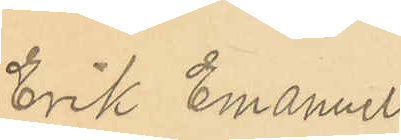Erik Emanuel
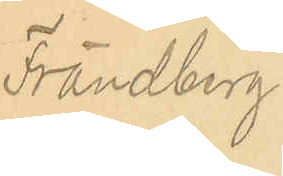Frändberg
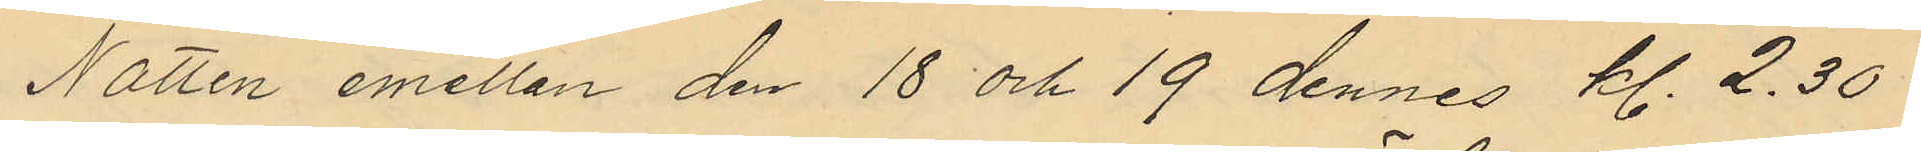Natten emellan den 18 och 19 dennes kl. 2.30
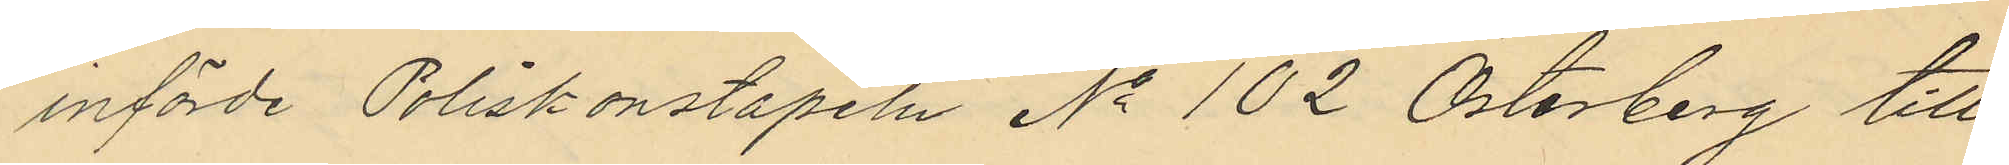införde Poliskonstapeln No 102 Österberg till
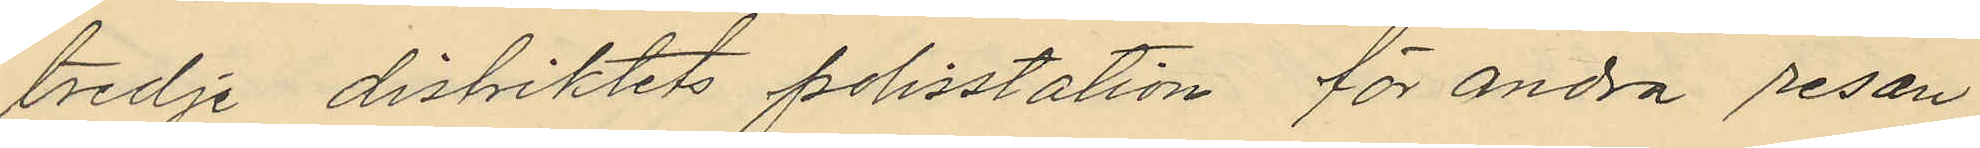tredje distiktets polisstation för andra resan
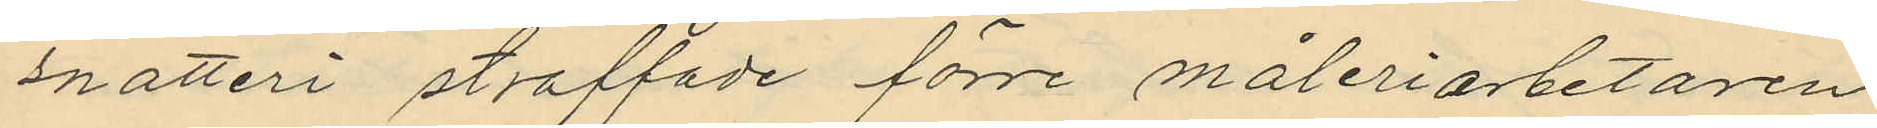snatteri straffade förre måleriarbetaren
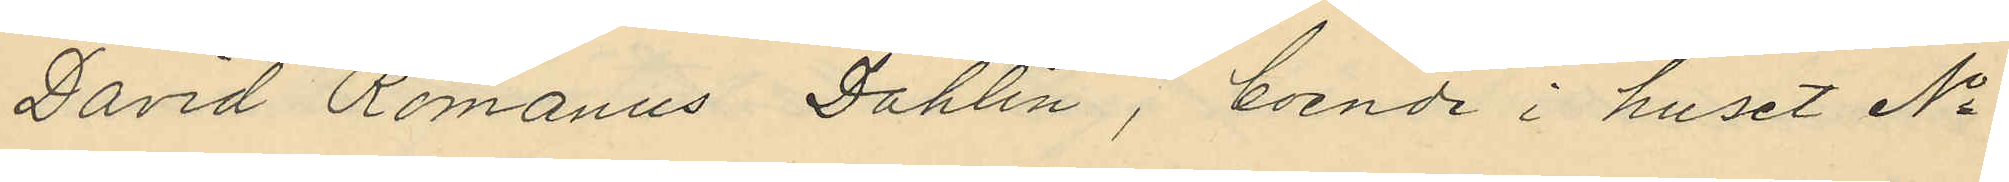David Romanus Dahlin, boende i huset No
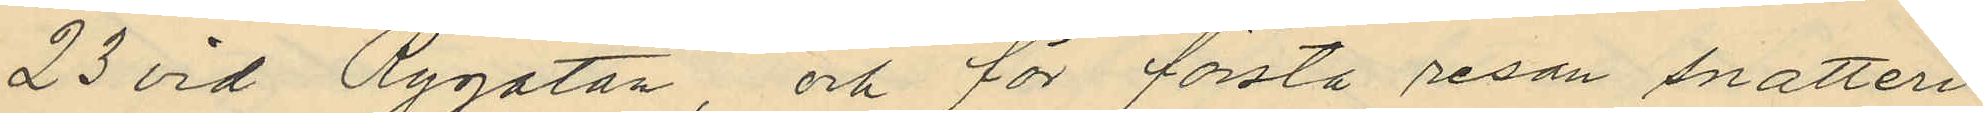23 vid Rygatan, och för första resan snatteri
